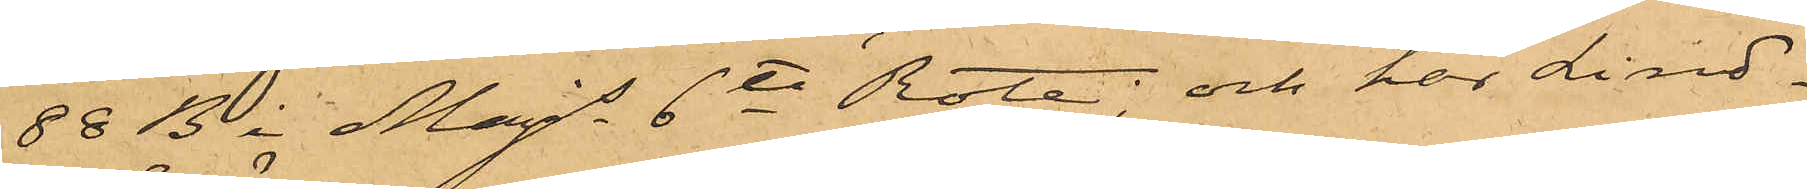88 B i Majs 6te Rote; och har Lind¬
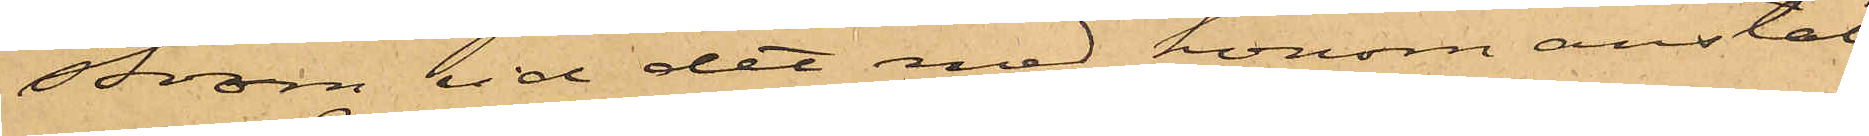ström vid det med honom anstäl¬
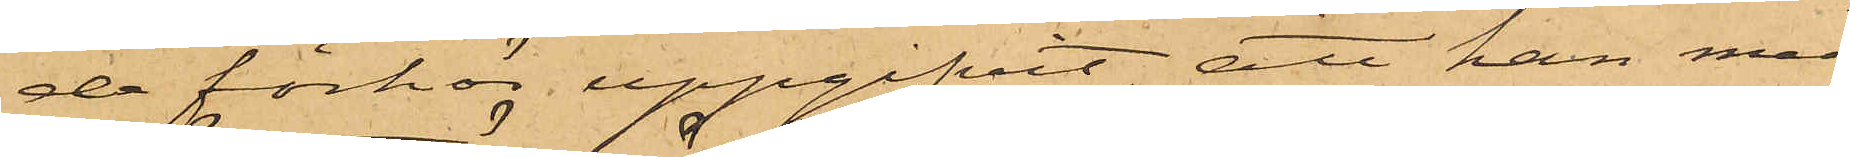de förhör uppgifvit, att han med
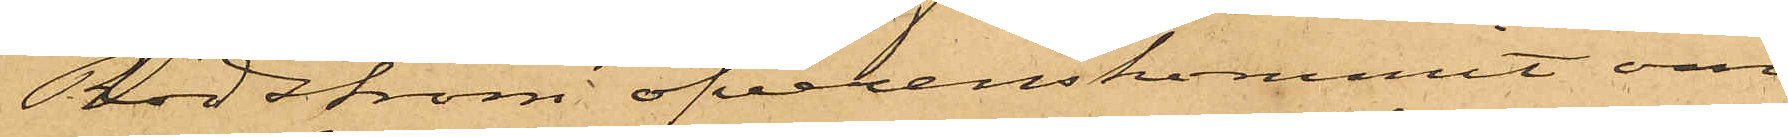Rödström öfverenskommit om
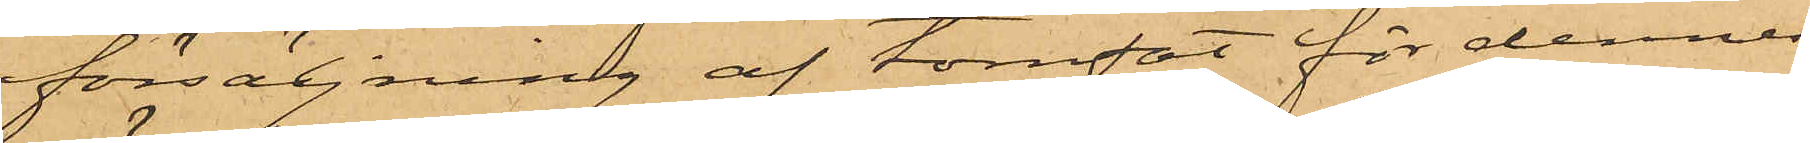försäljning af tomfat för dennes
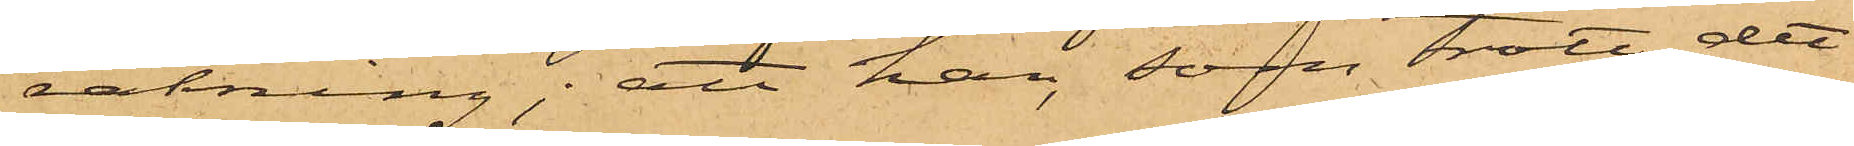räkning; att han, som trott det
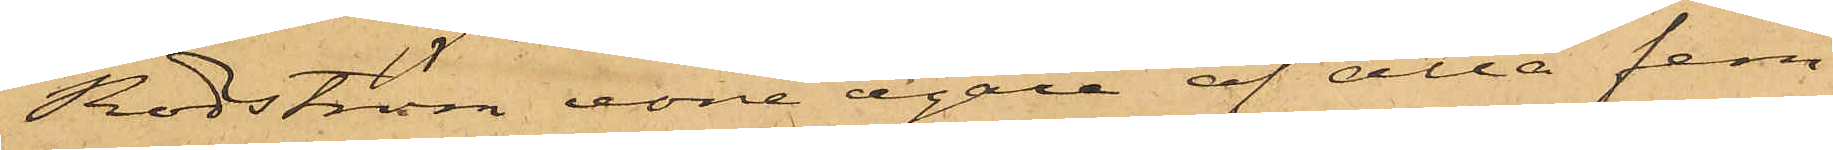Rödström vore egare af alla fem
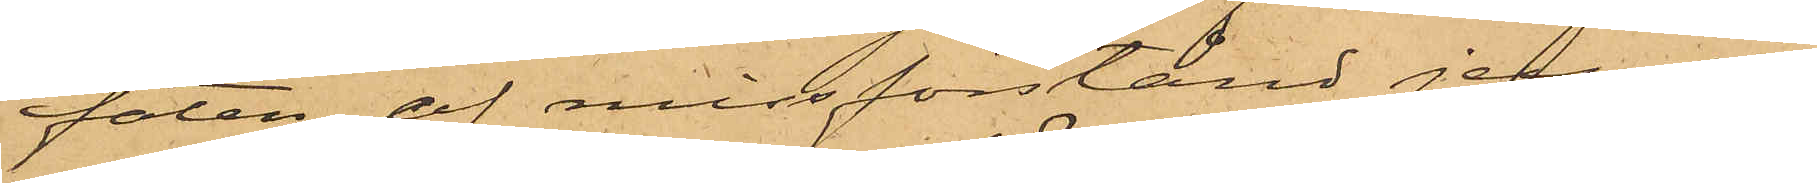faten, af missförstånd jemväl
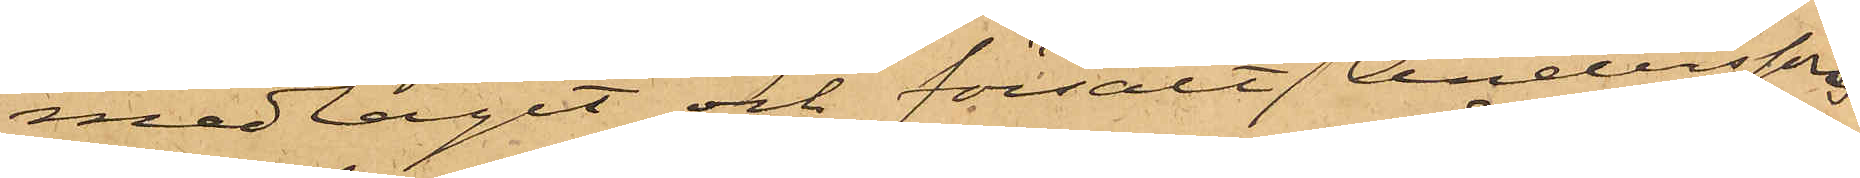medtagit och försålt Andersson
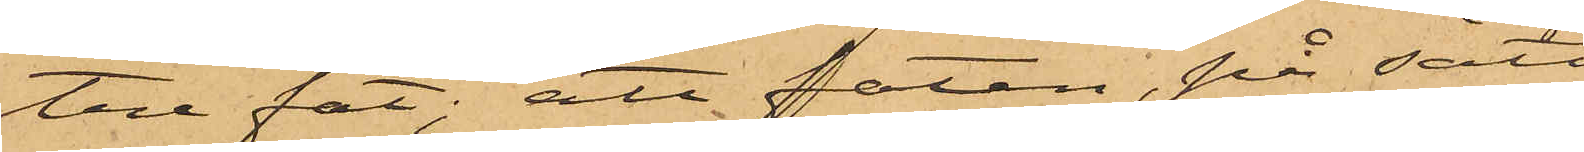tre fat; att faten, på sätt
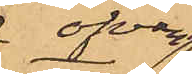ofvan
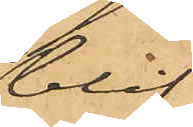blif¬
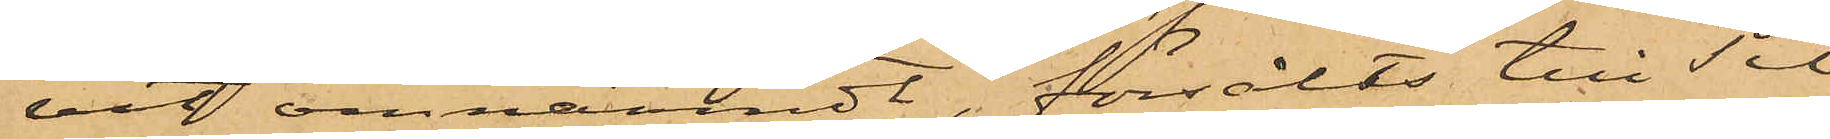vit omnämndt, försålts till Til¬
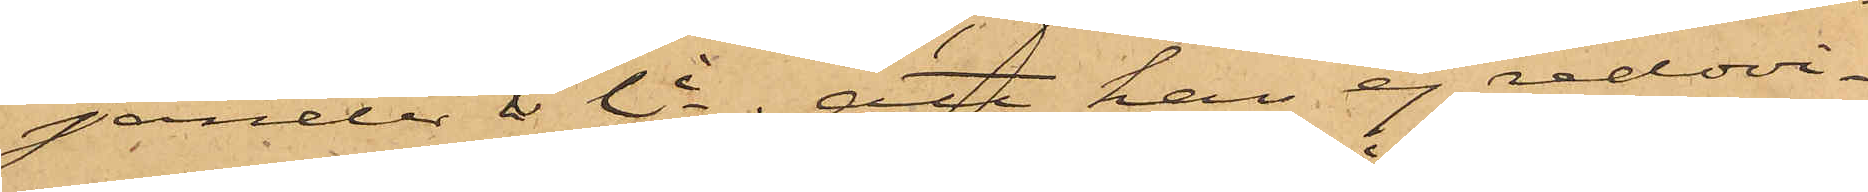jander & Ci; att han ej redovi¬
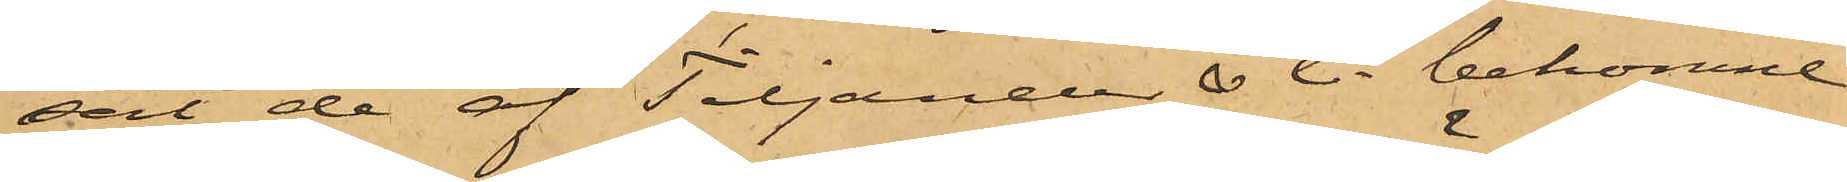sat de af Tiljander & Ci bekomne
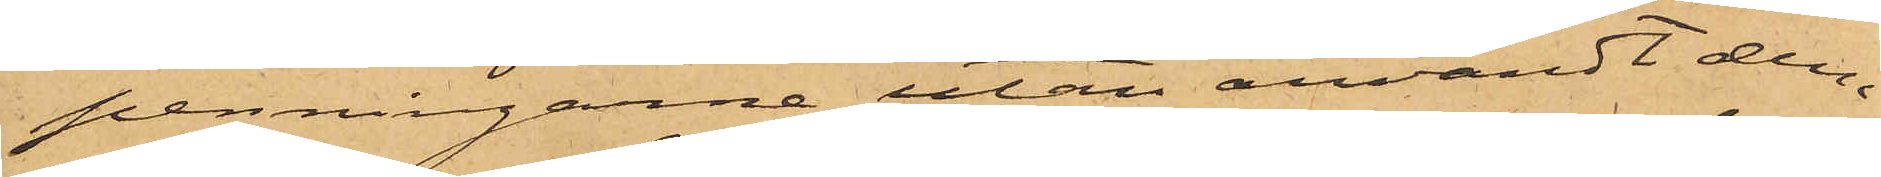penningarne utan användt dem
